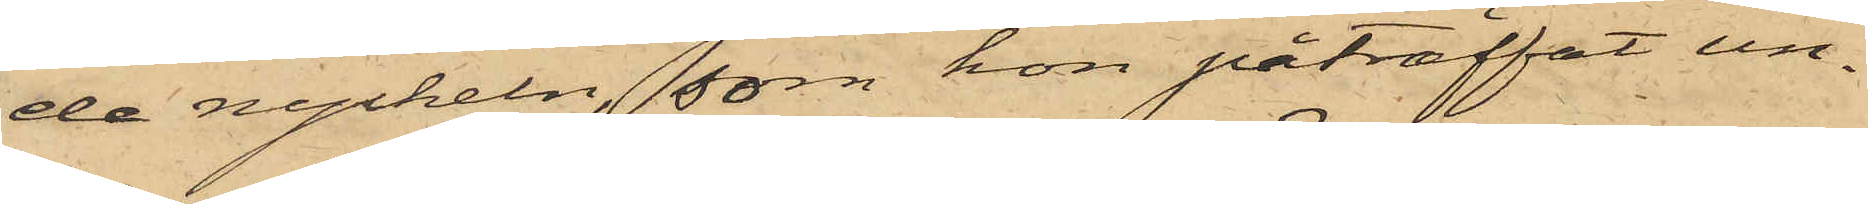de nyckeln, som hon påträffat un¬
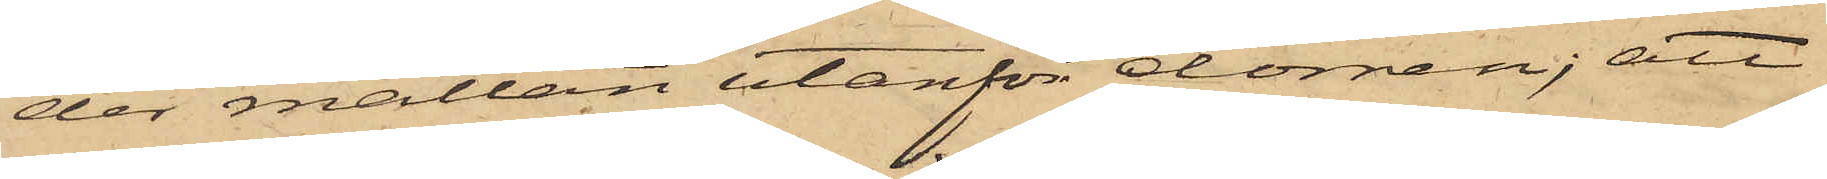der mattan utanför dörren; att
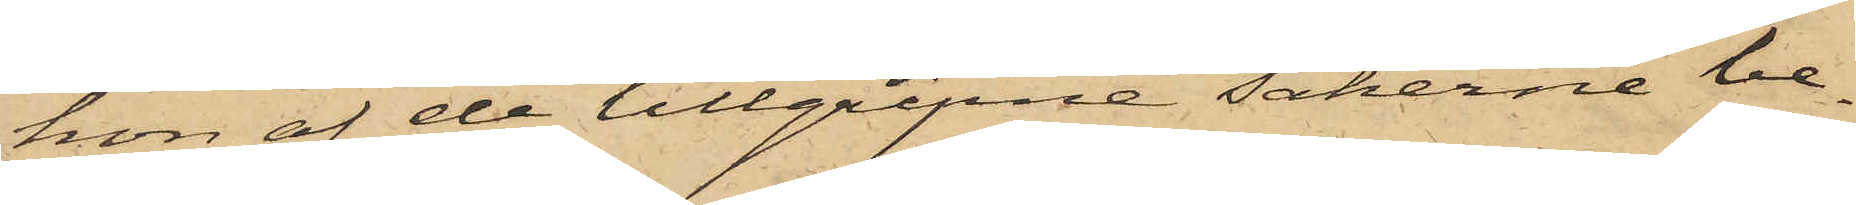hon af de tillgripne sakerna be¬
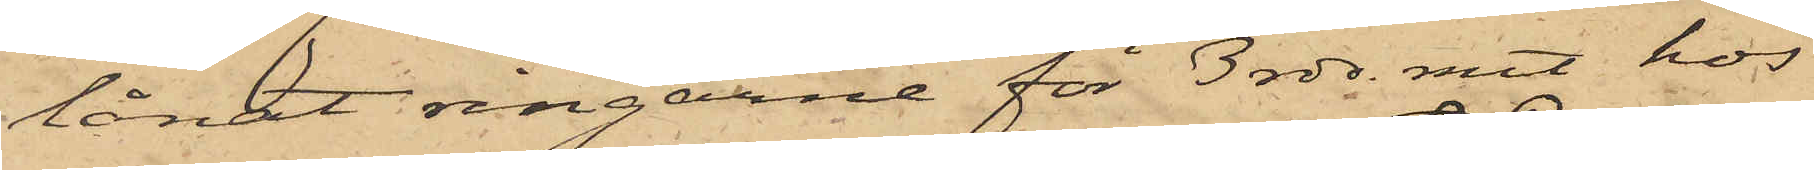lånat ringarne för 3 rdr. rmt hos
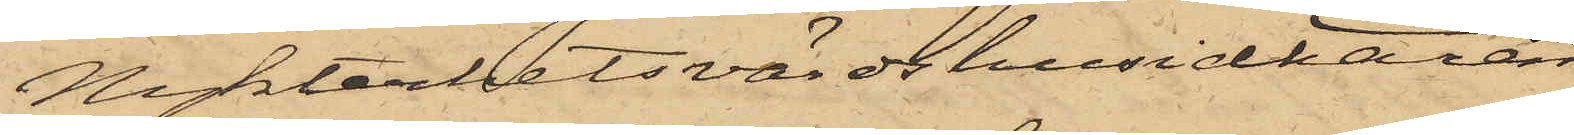Nykterhetsvärdshusidkaren
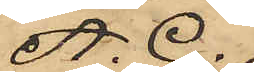A. G.
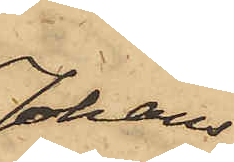Johans¬
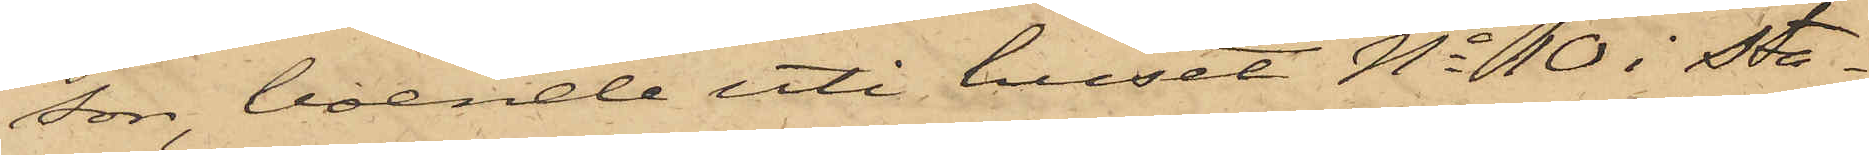son, boende uti huset No 10 i Sta¬
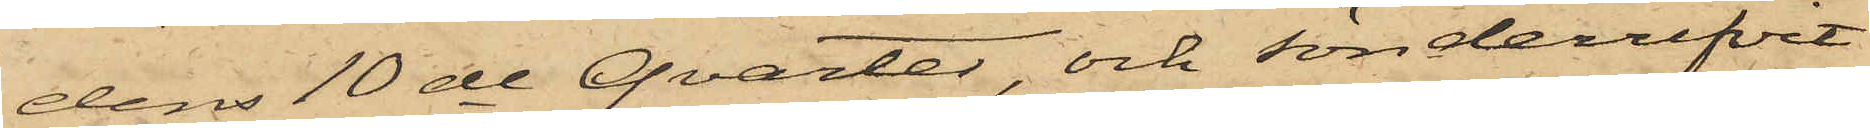dens 10de Qvarter, och sönderrifvit
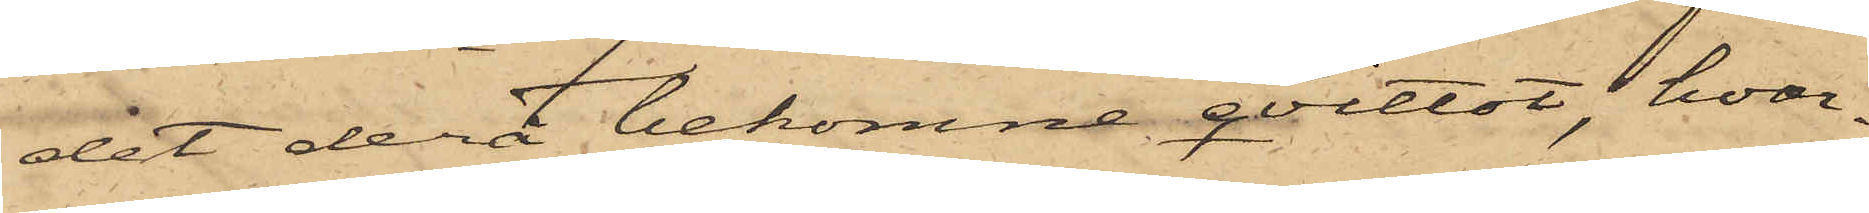det derå bekomne qvittot, hvar¬
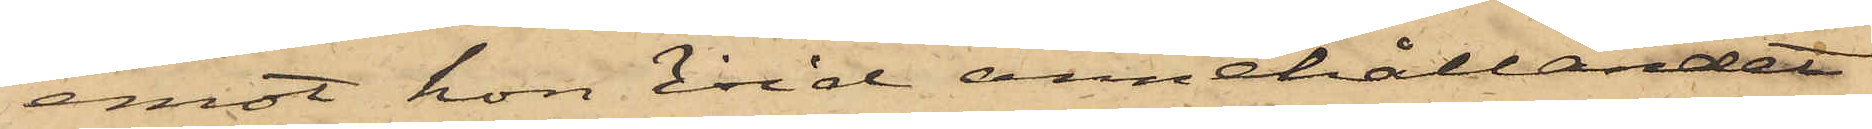emot hon vid annehållandet
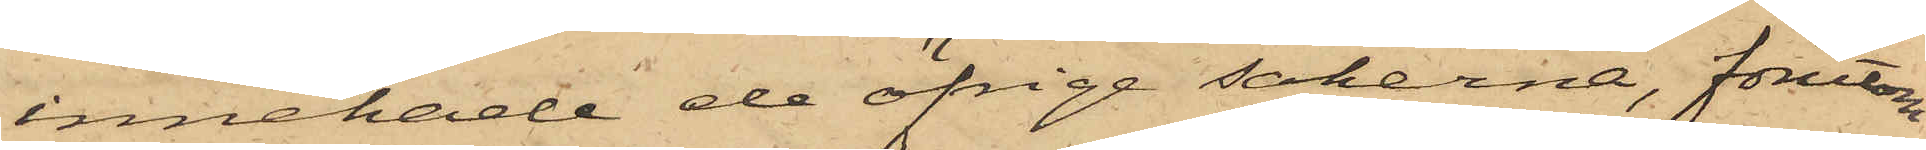innehade de öfrige sakerna, förutom
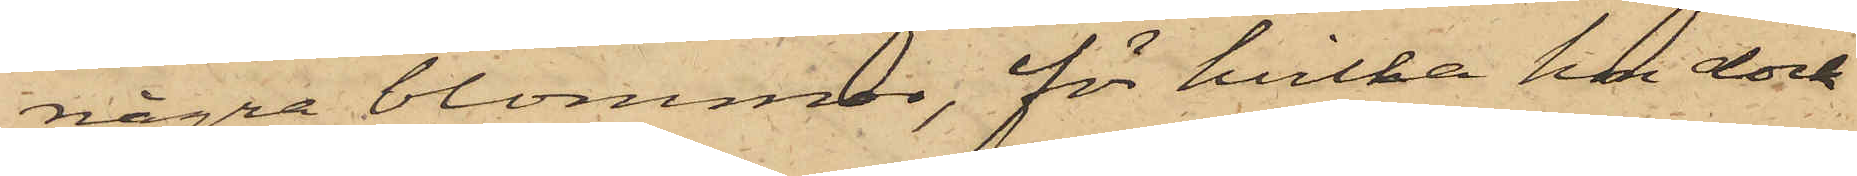några blommor, för hvilka hon dock
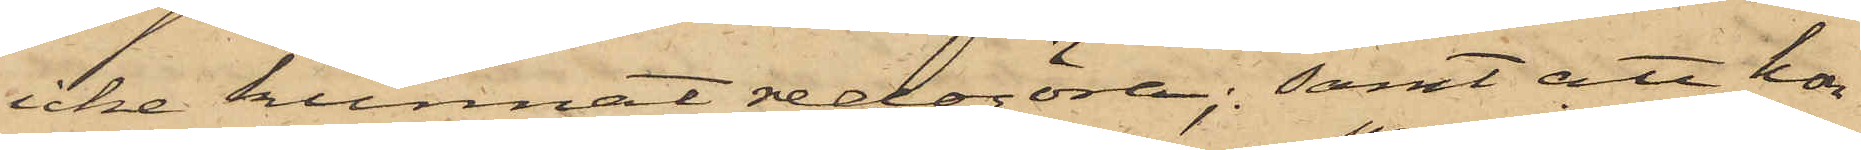icke kunnat redogöra; samt att hon
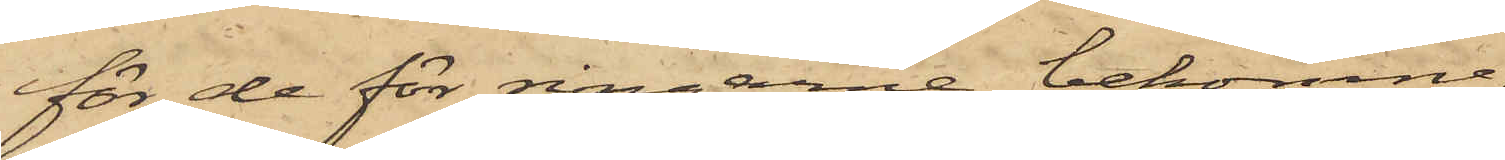för de för ringarne bekomne
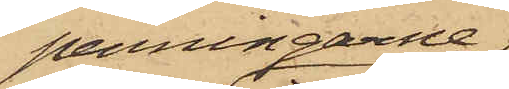penningarne
